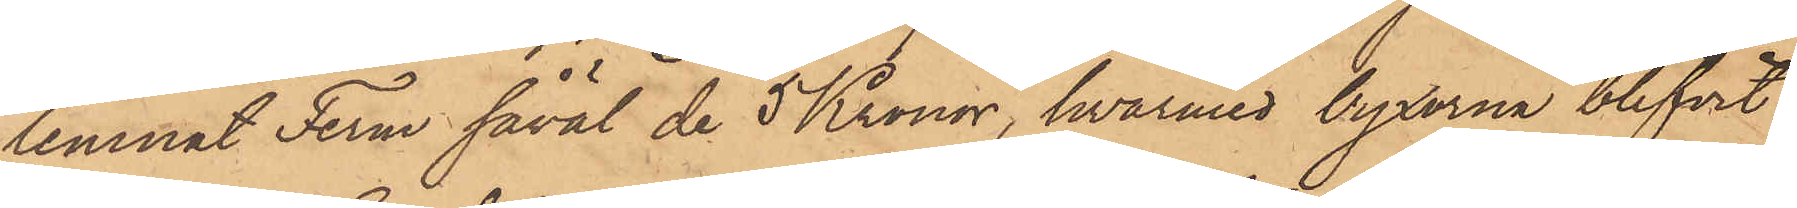lemnat Ferm såväl de 5 Kronor, hvarmed byxorna blifvit
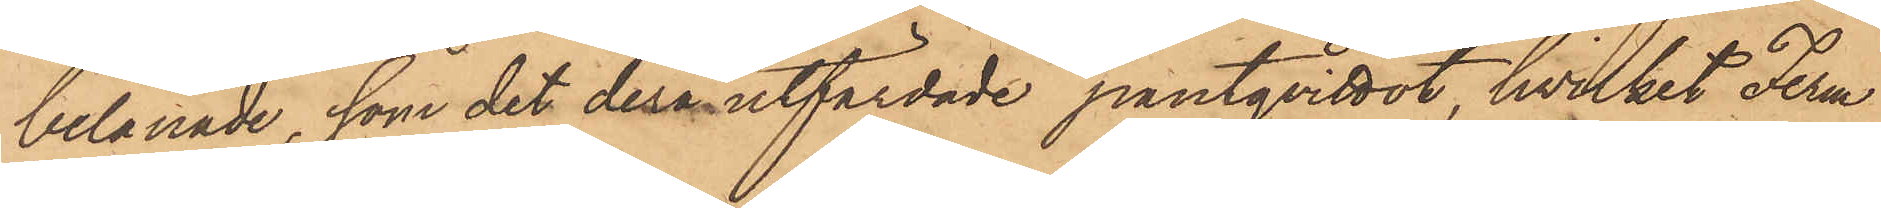belånade, som det derå utfärdade pantqvittot, hvilket Ferm
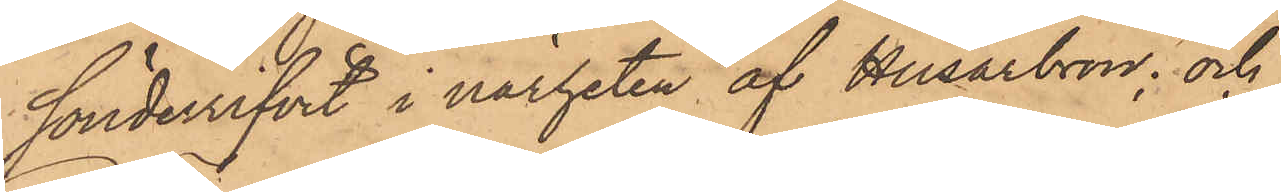sönderrifvit i närheten af Husarbron; och
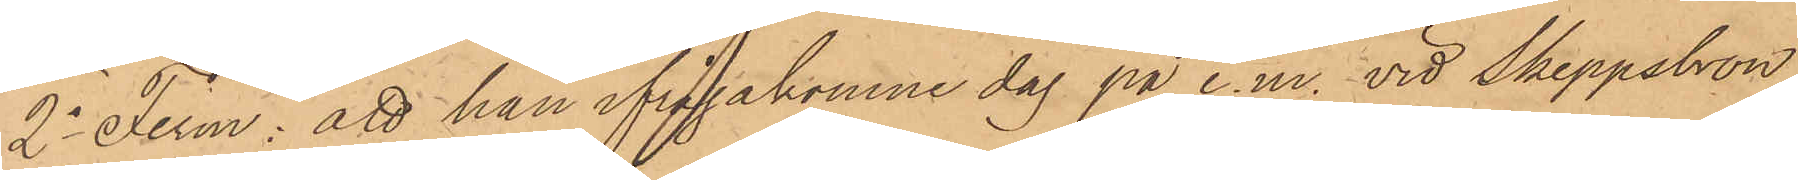2o Ferm: att han ifrågakomne dag på e.m. vid Skeppsbron
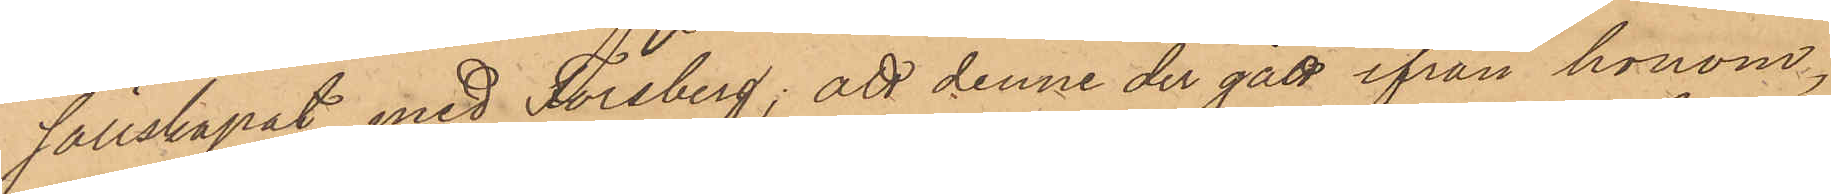sällskapat med Forsberg; att denne der gått ifrån honom,
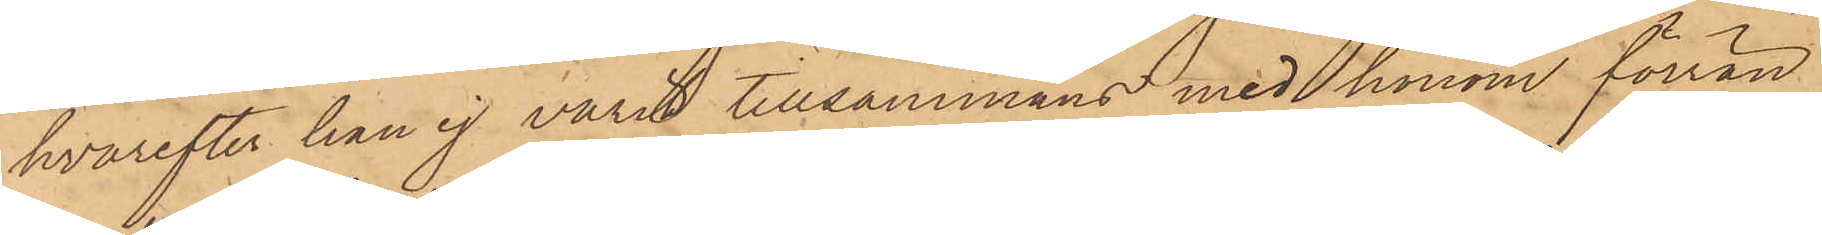hvarefter han ej varit tillsammans med honom förrän
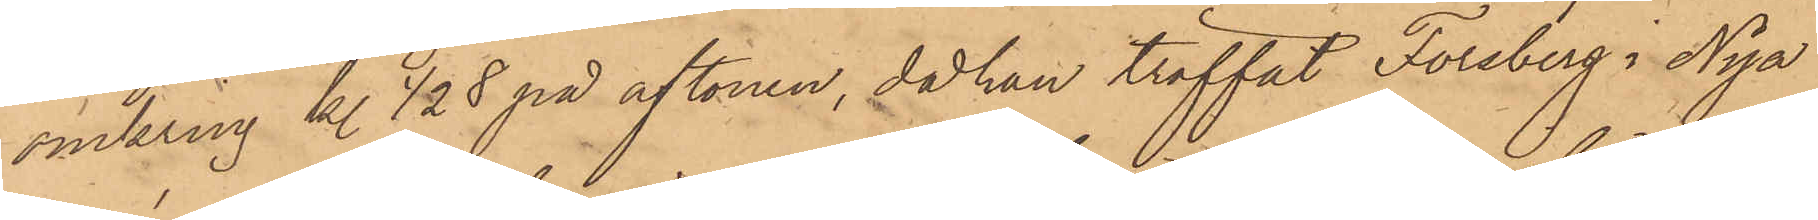omkring kl ½8 på aftonen, då han träffat Forsberg i Nya
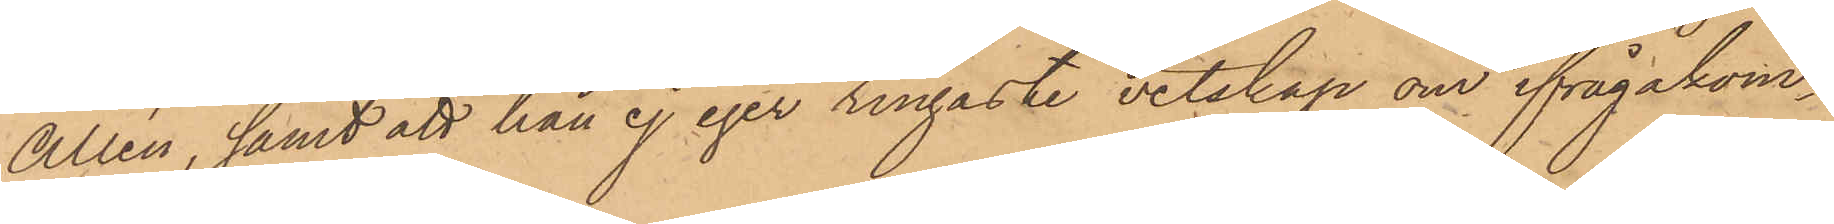Allén, samt att han ej eger ringaste vetskap om ifrågakom¬
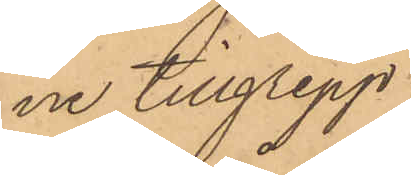ne tillgrepp.
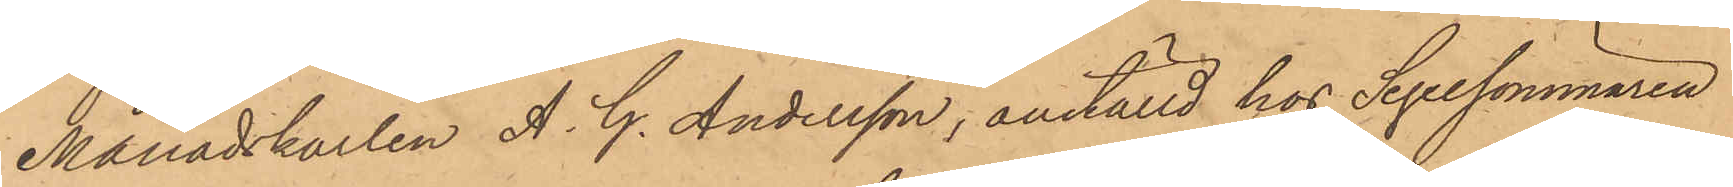Månadskarlen A. G. Andersson, anställd hos Segelsömmaren
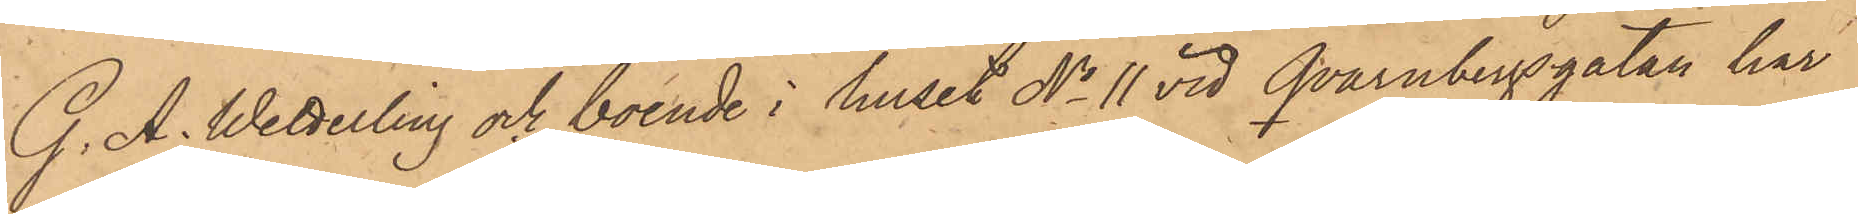G. A. Wetterling och boende i huset No 11 vid Qvarnbergsgatan har
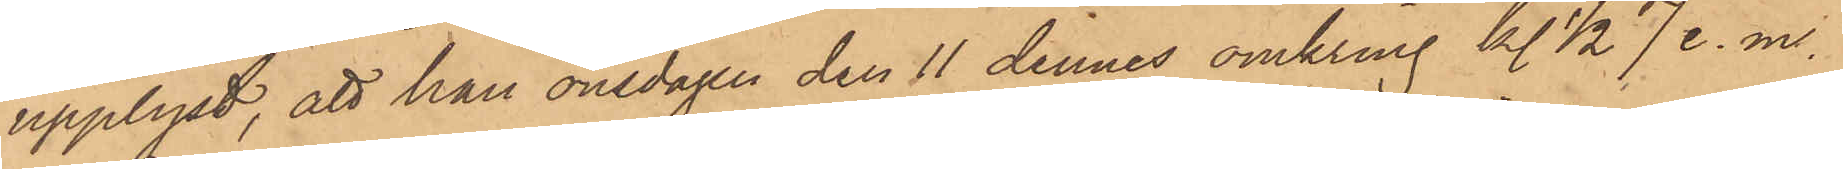upplyst, att han onsdagen den 11 dennes omkring kl ½ 7 e. m.
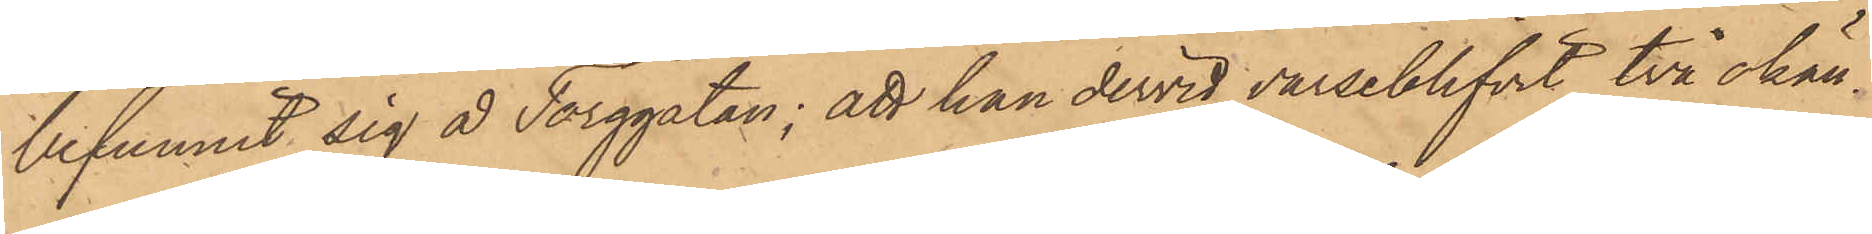befunnit sig å Torggatan; att han dervid varseblifvit två okän¬
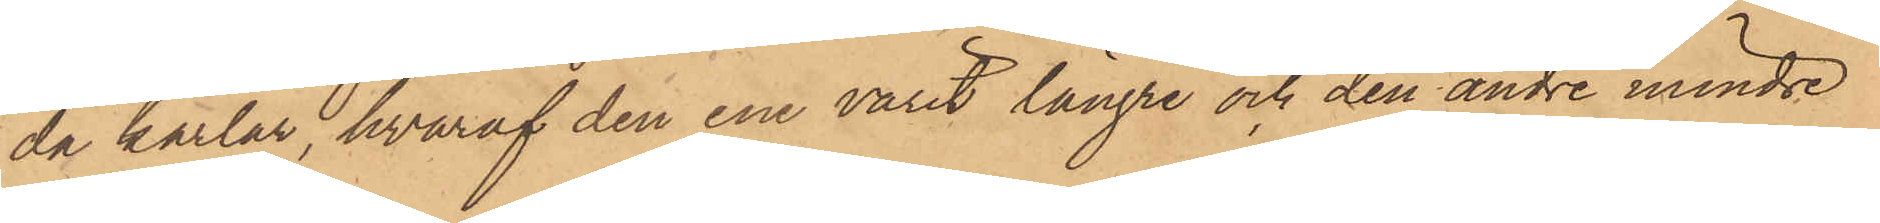da karlar, hvaraf den ene varit längre och den andre mindre
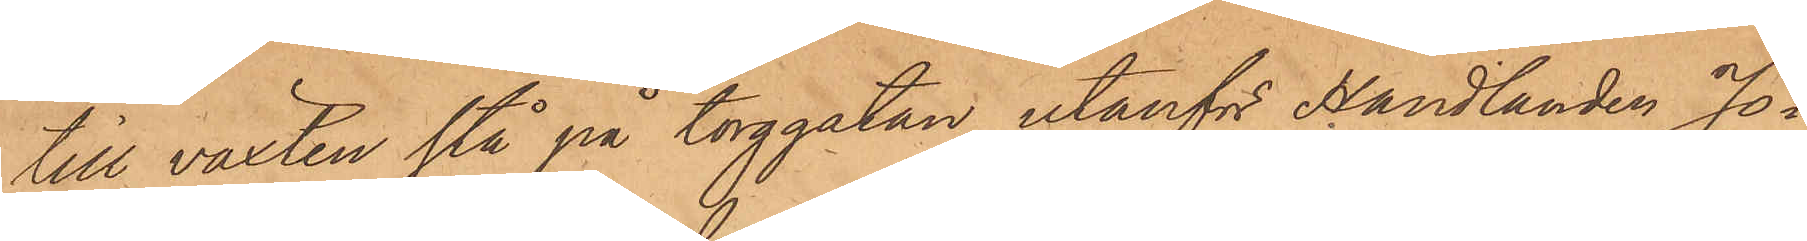till växten stå på torggatan utanför Handlanden Jo¬
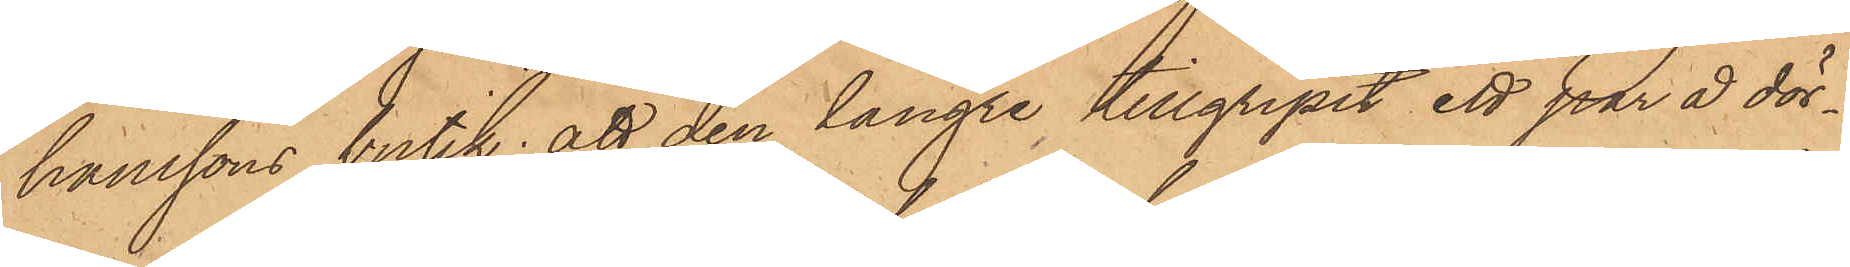hanssons butik; att den längre tillgripit ett par å dör¬
